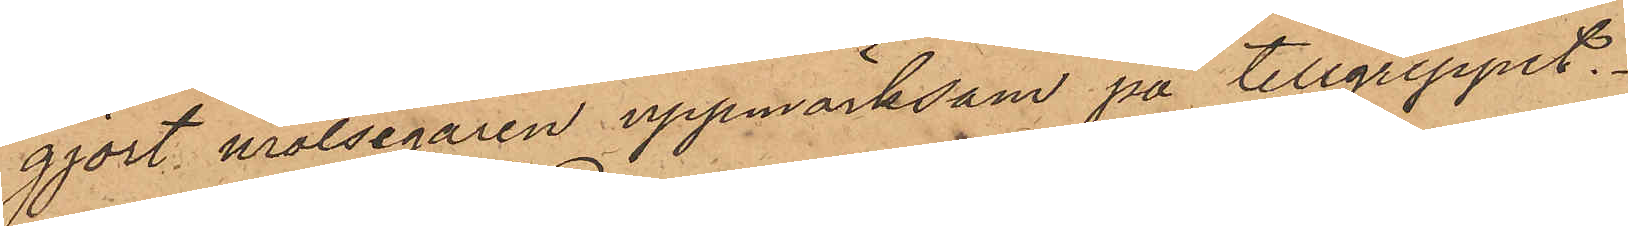gjort målsegaren uppmärksam på tillgreppet.
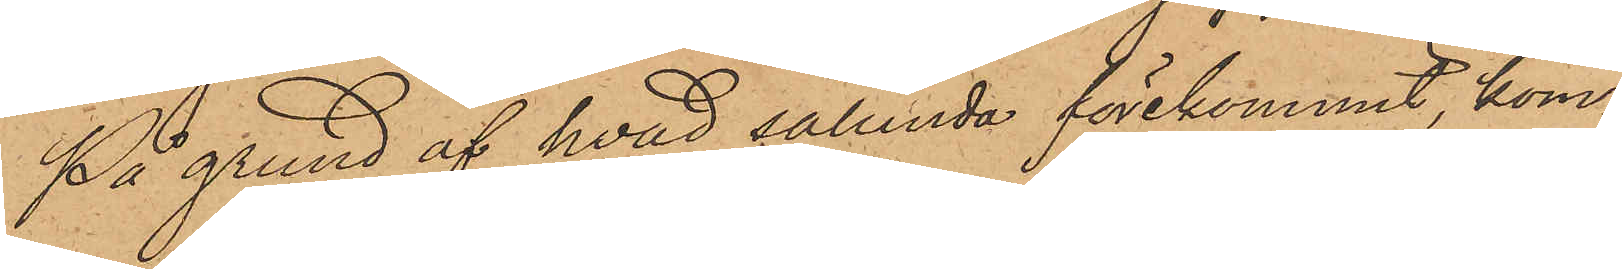På grund af hvad sålunda förekommit, kom¬
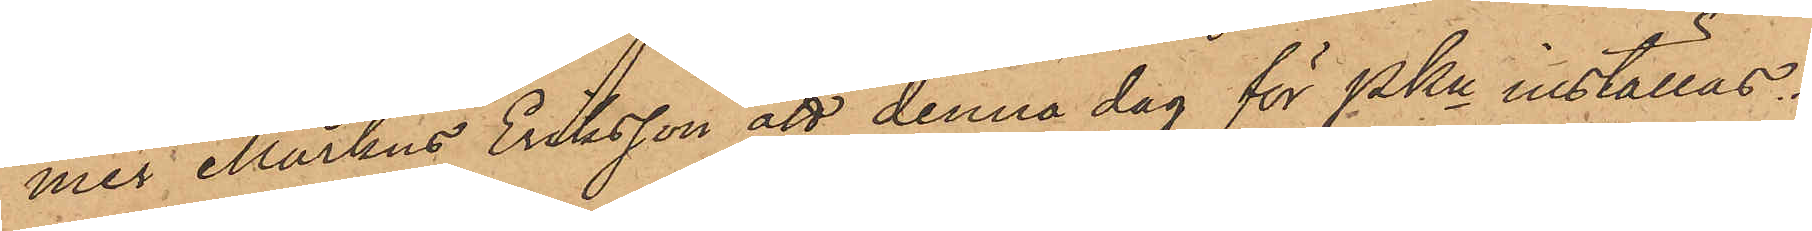med Markus Eriksson att denna dag för PKn inställas.
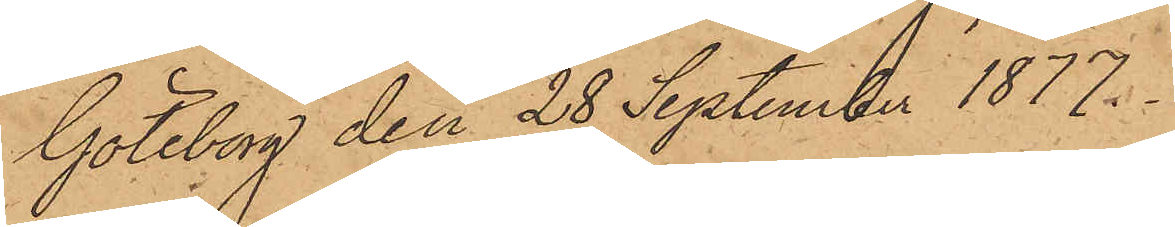Göteborg den 28 September 1877.
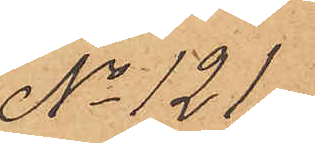No 121.
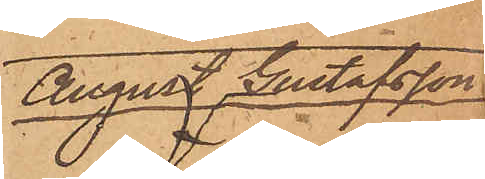August Gustafsson.
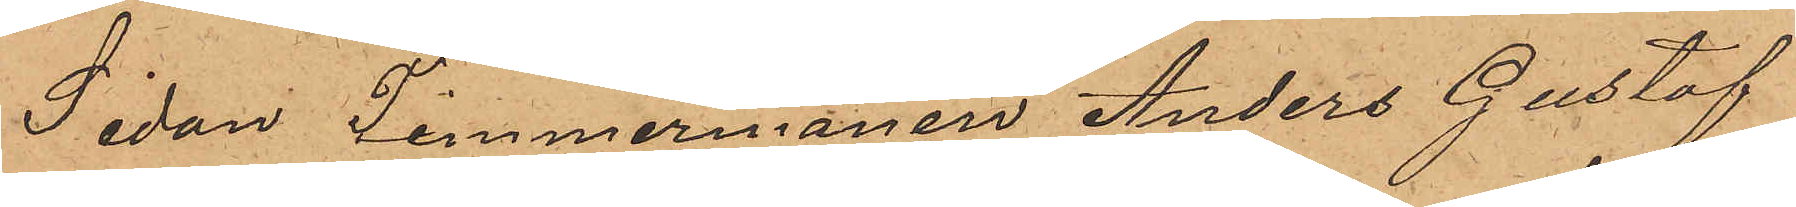Sedan Timmermanen Anders Gustaf
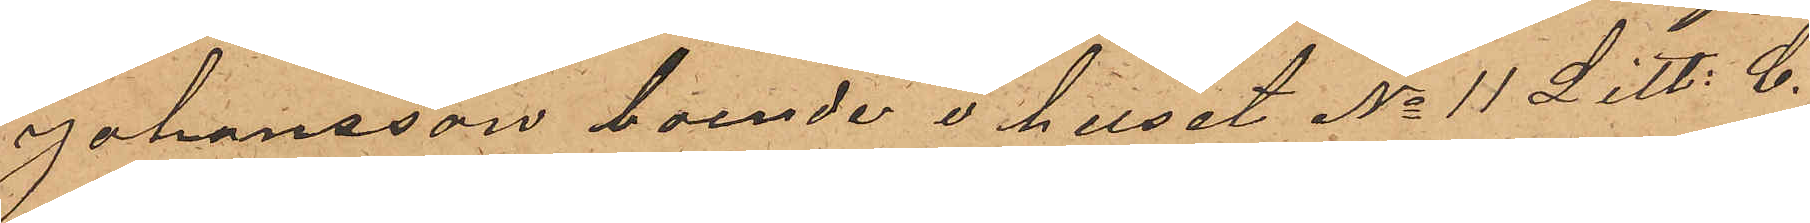Johansson, boende i huset No 11 Litt. C.
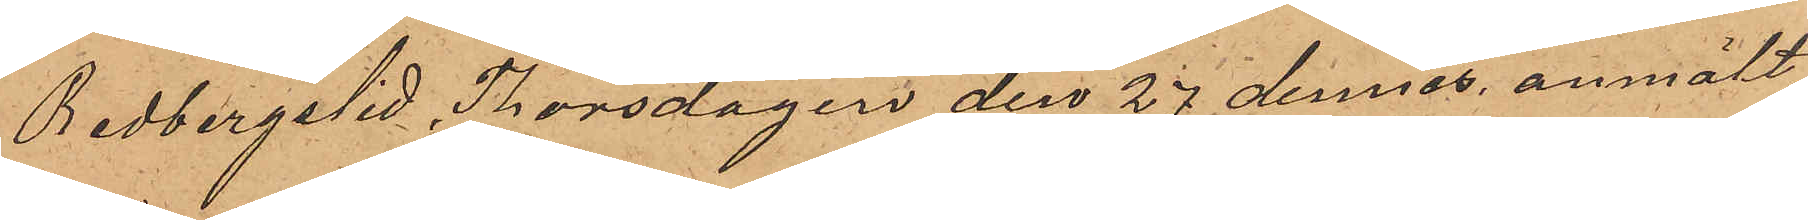Redbergslid, Thorsdagen den 27 dennes anmält,
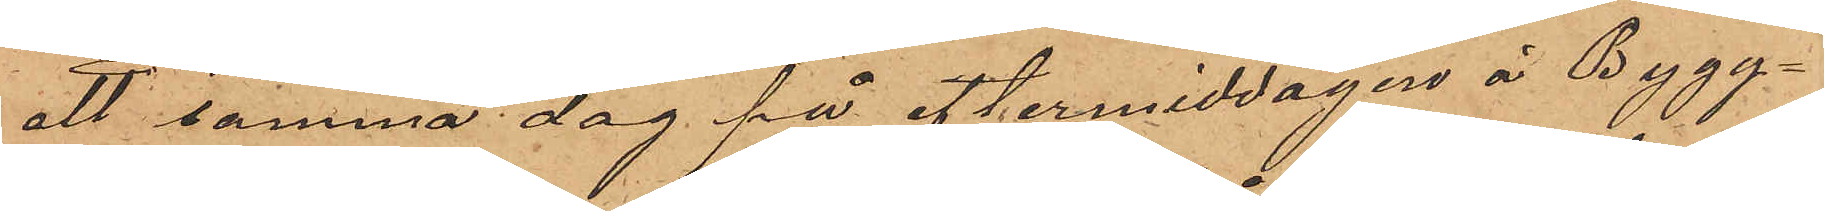att samma dag på eftermiddagen å Bygg¬
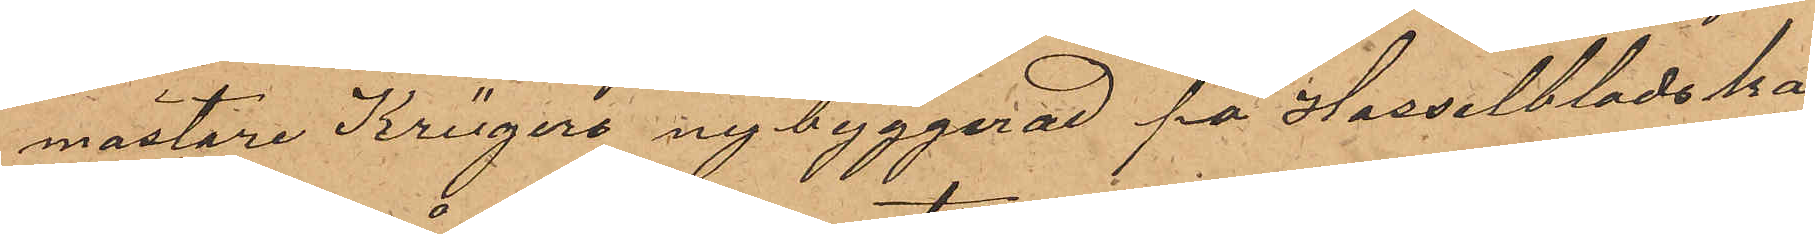mästare Krügers nybyggnad på Hasselbladska
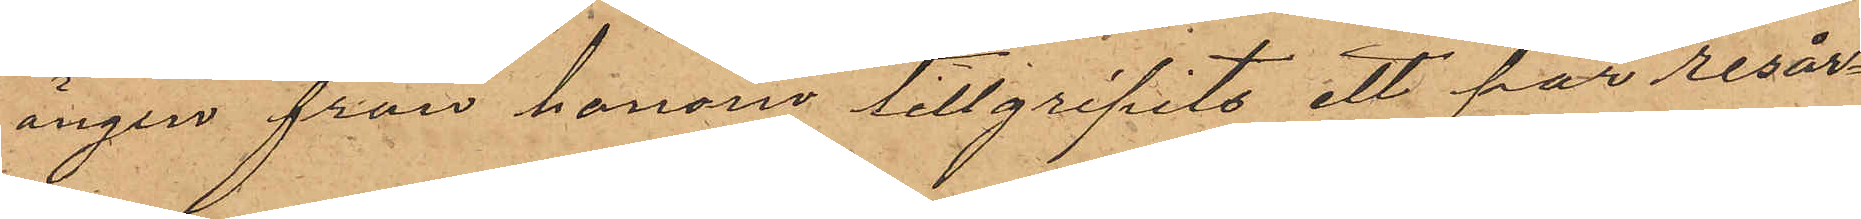ängen från honom tillgripits ett par resår¬
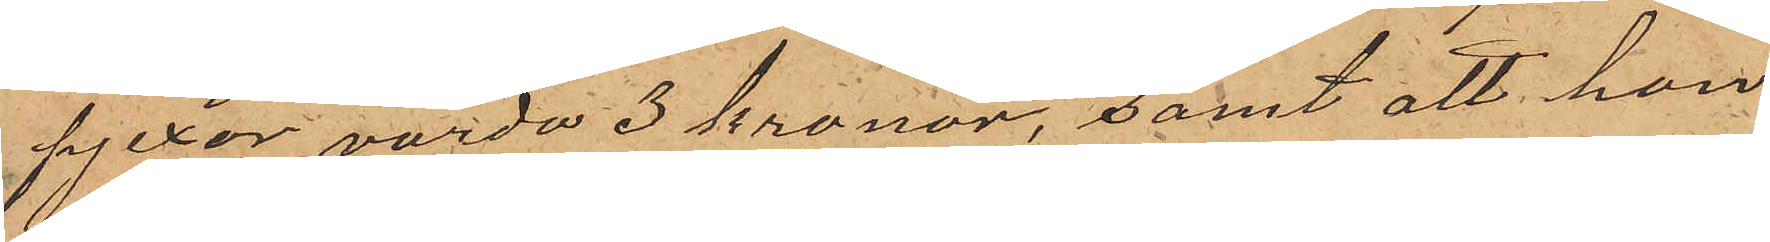pjexor värda 3 kronor, samt att han
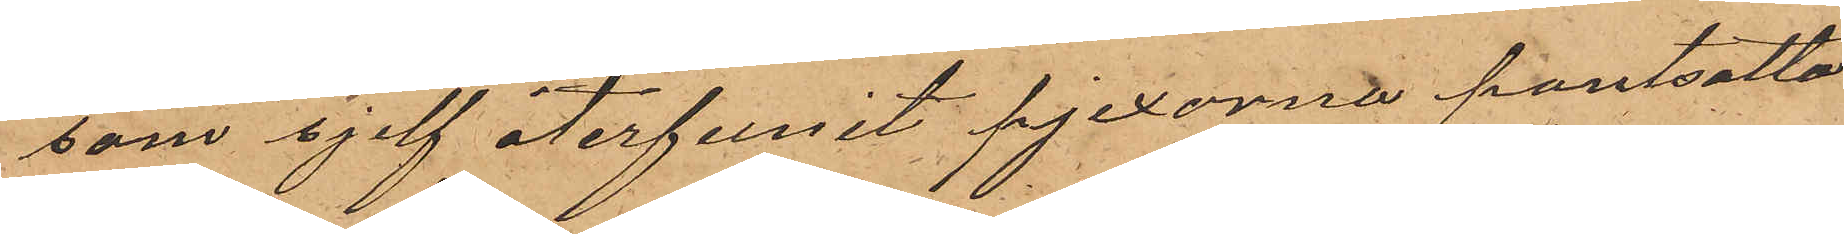som sjelf återfunit pjexorna pantsatta
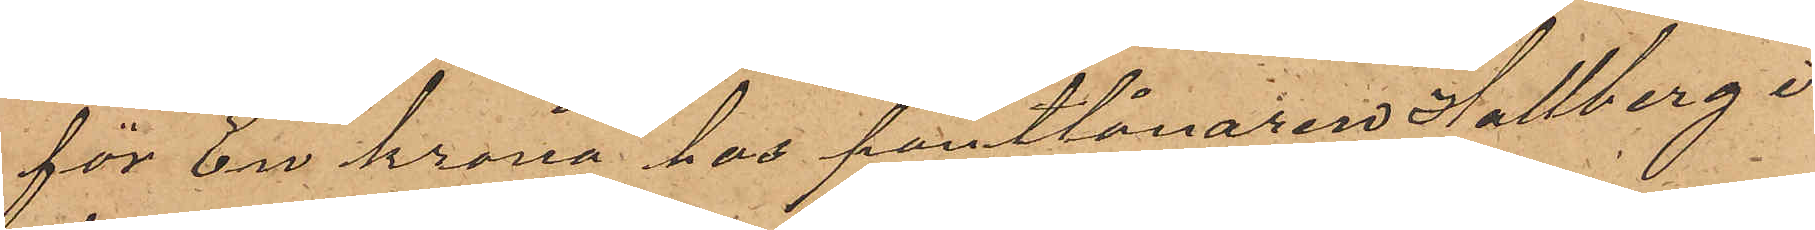för En krona hos pantlånaren Hallberg i
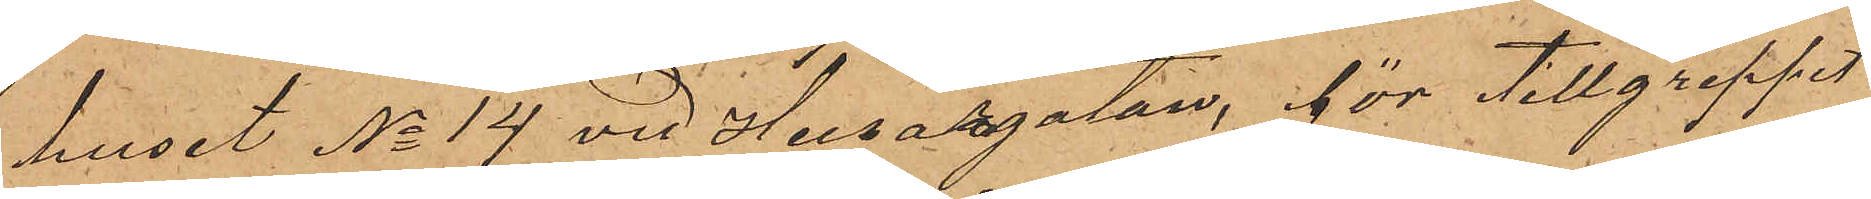huset No 14 vid Husargatan, för tillgreppet
